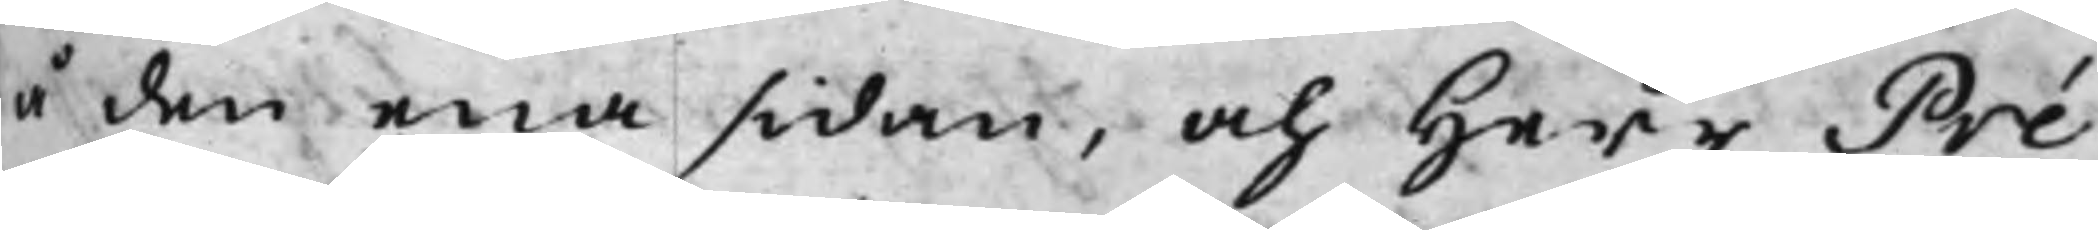å den ena sidan, och Herr Pré¬
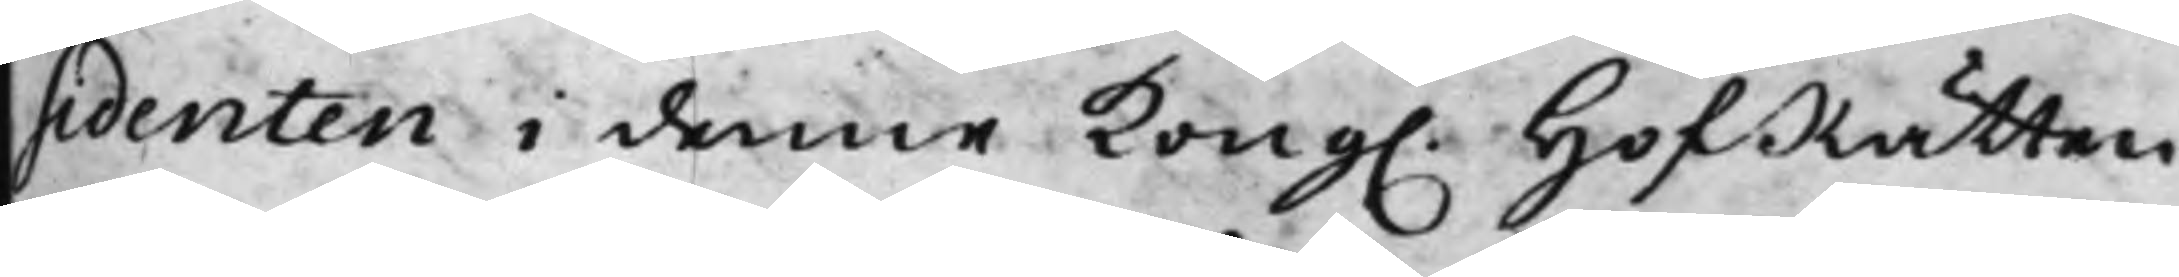sidenten i denne Kong. HofRätten
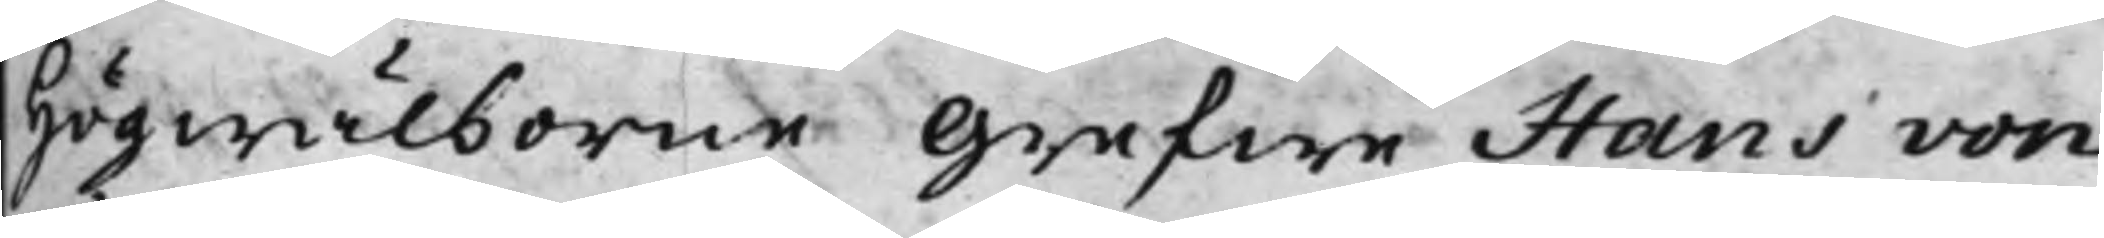Högwälborne Grefwe Hans von
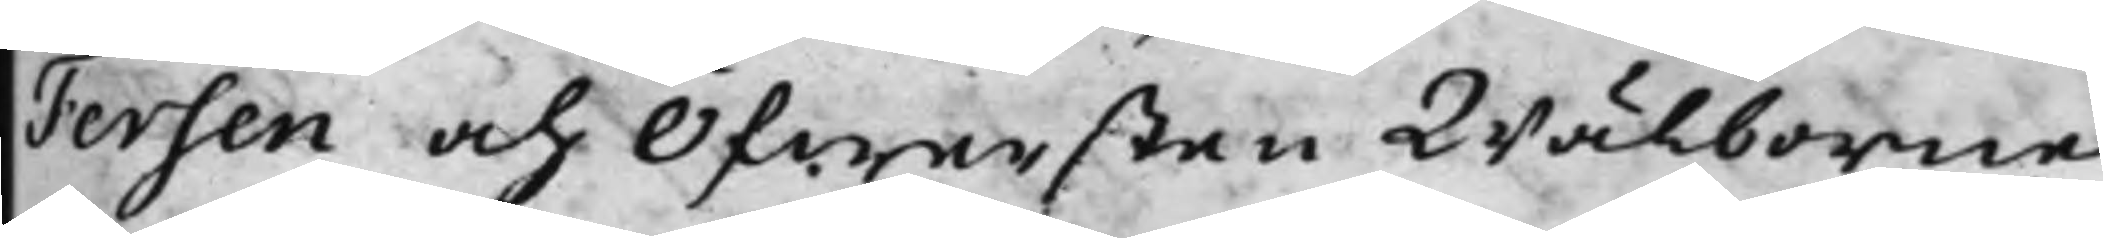Fersen och Öfwersten Wälborne
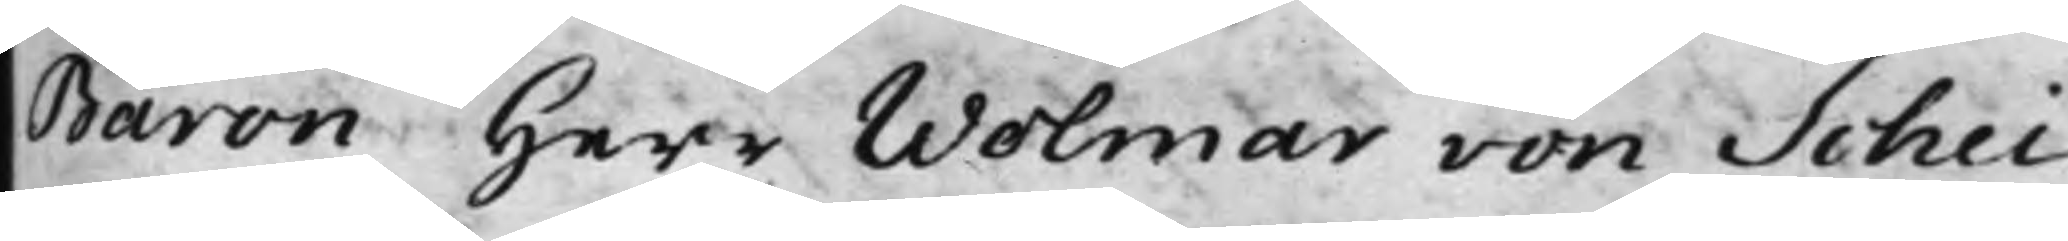Baron Herr Wolmar von Schei¬
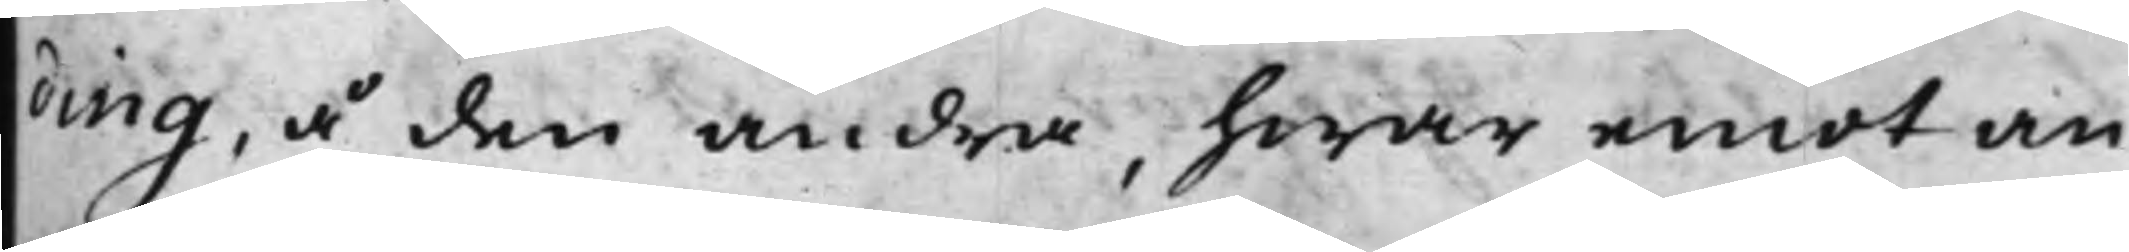ting, å den andra, hwar emot an¬
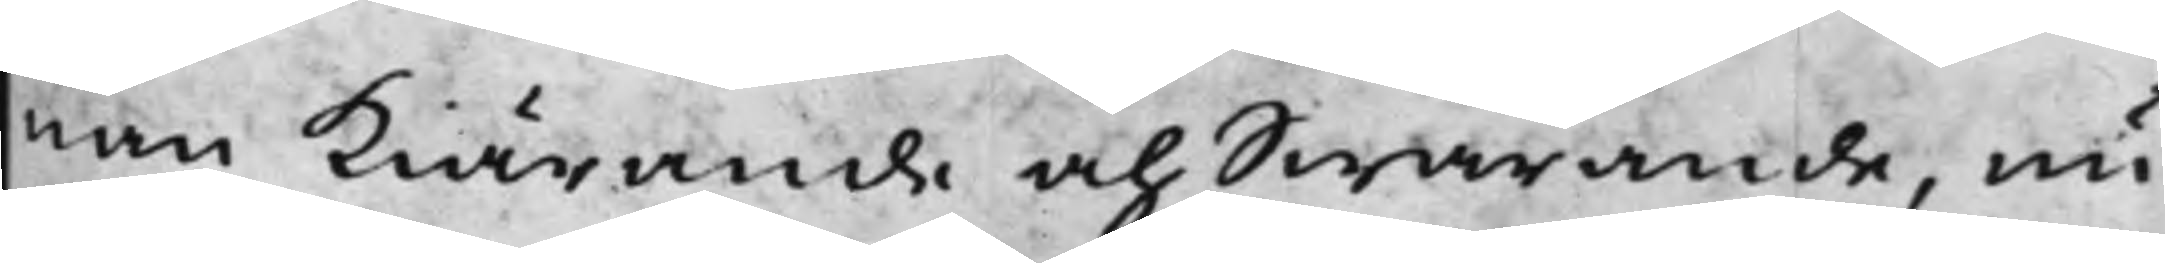nan Kiärande och Swarande, nu
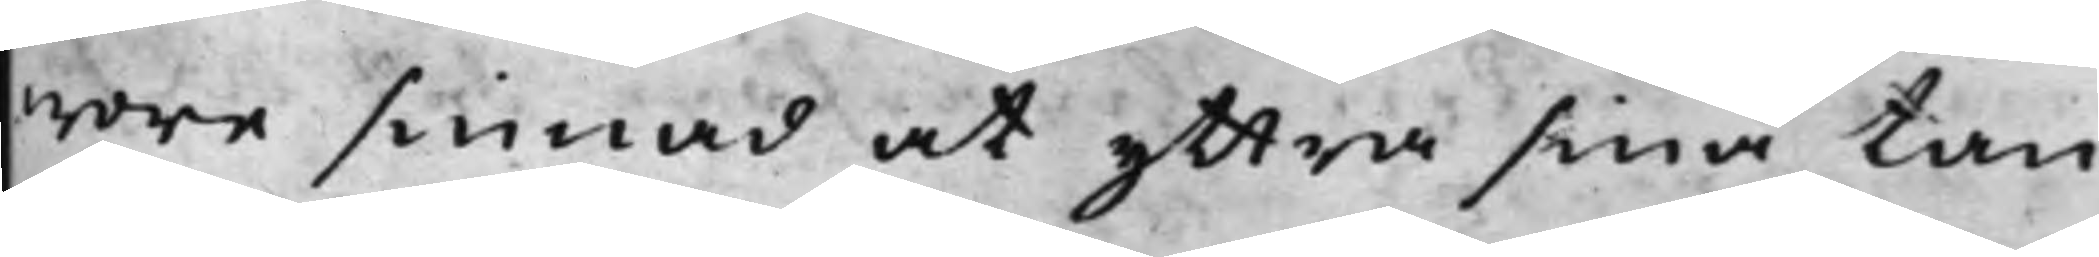wore sinnad at yttra sina tan¬
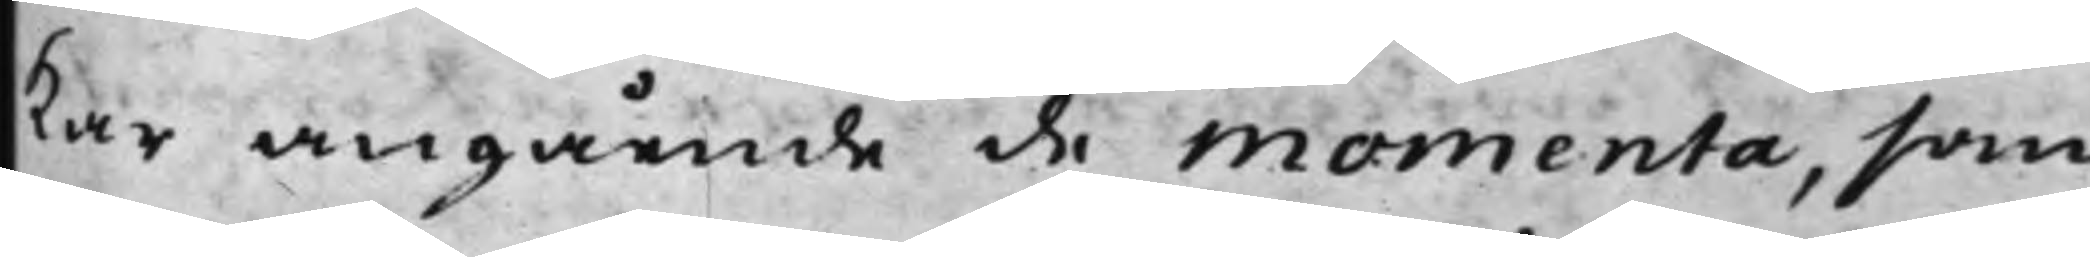kar angående de momenta, som
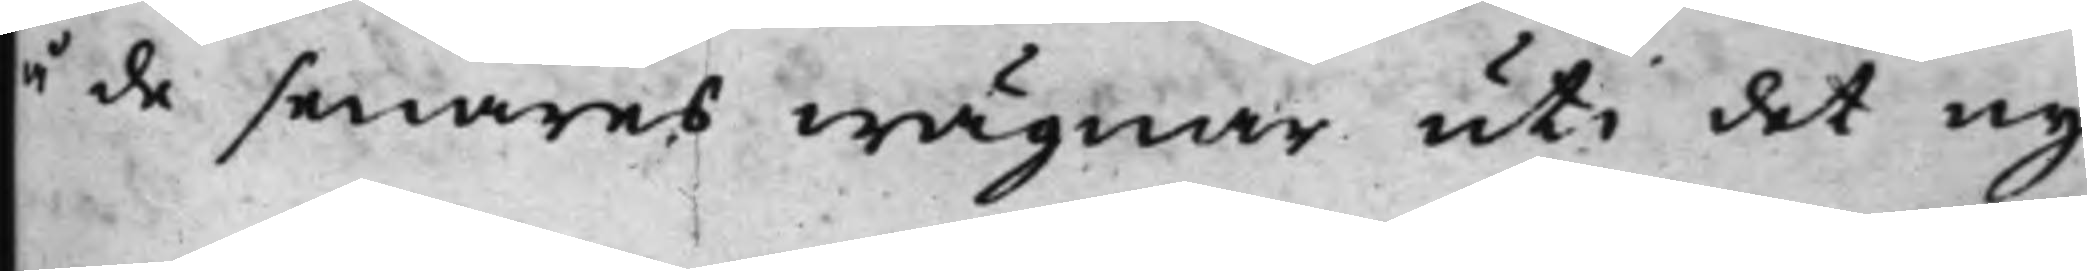å de senares wägnar uti det ny¬
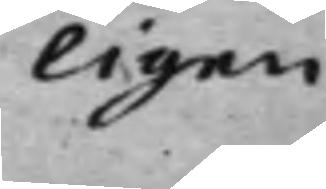ligen
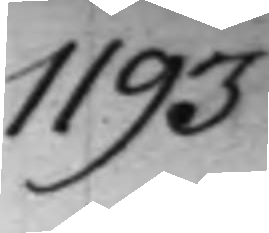1193.
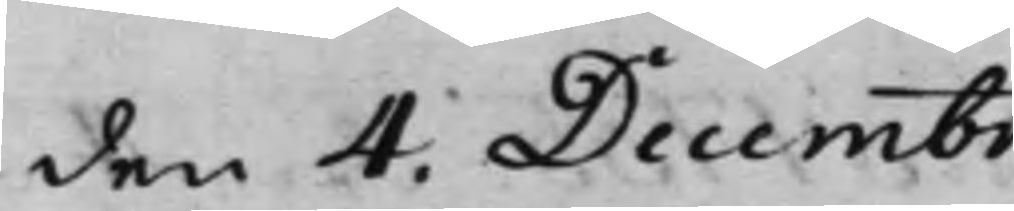den 4. Decembr.
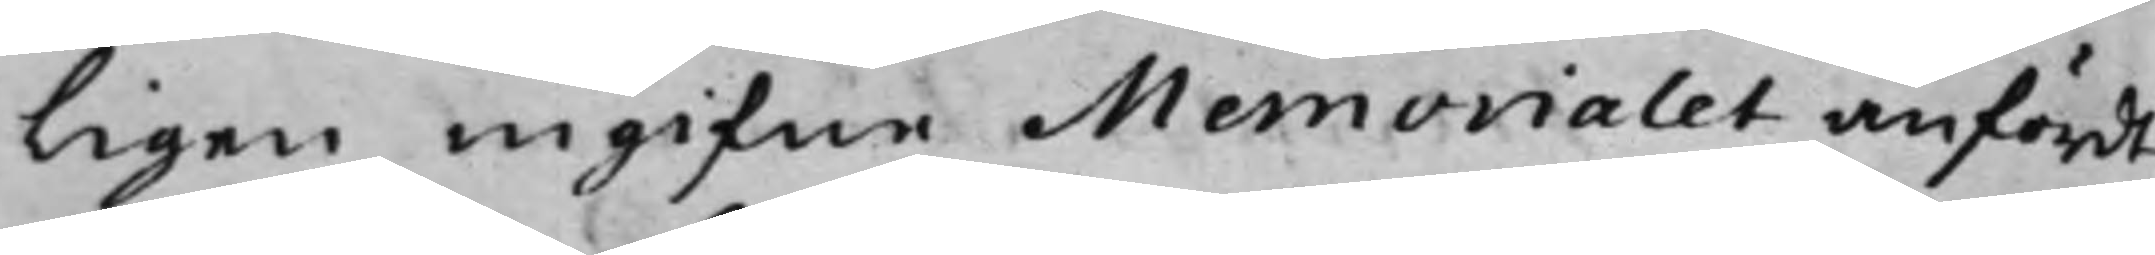ligen ingifne Memorialet anfördt
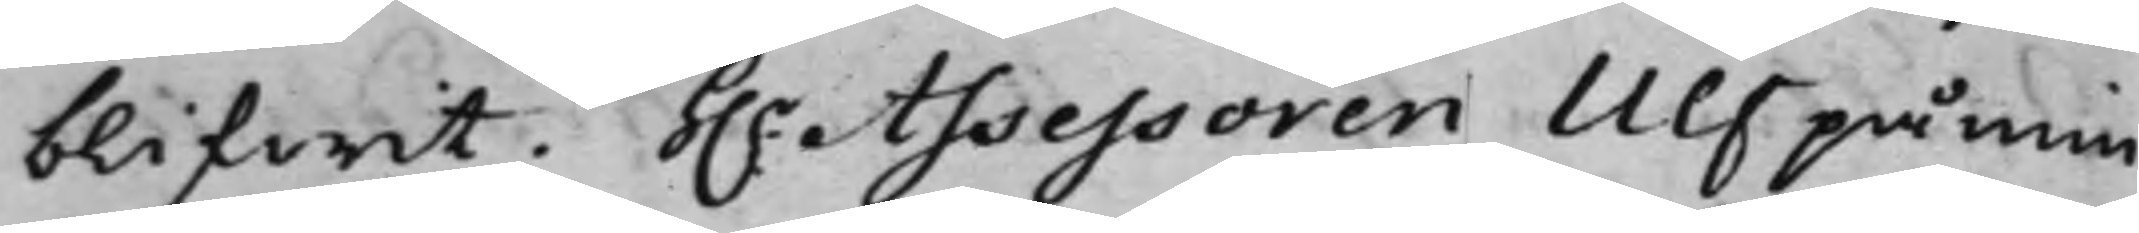blifwit. H.r Assessoren Ulf påmin¬
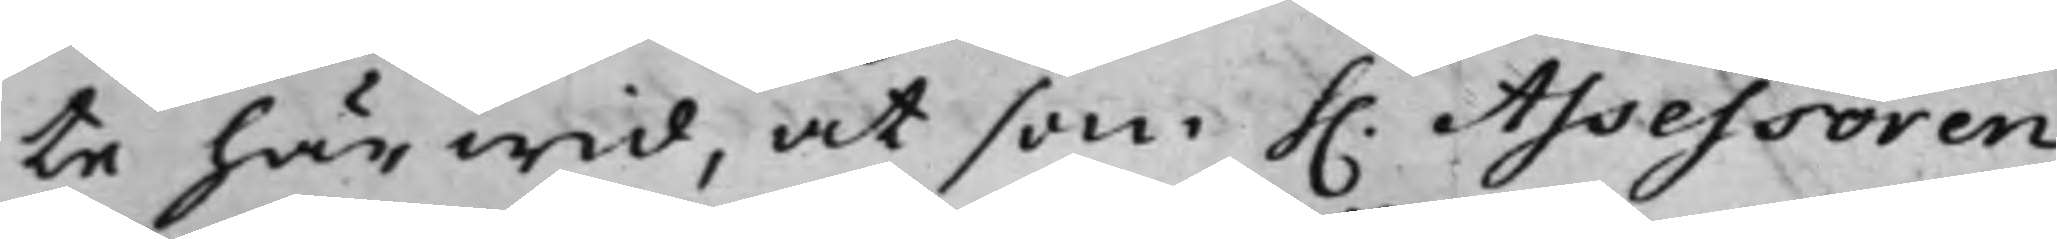te härwid, at som h. Assessoren
